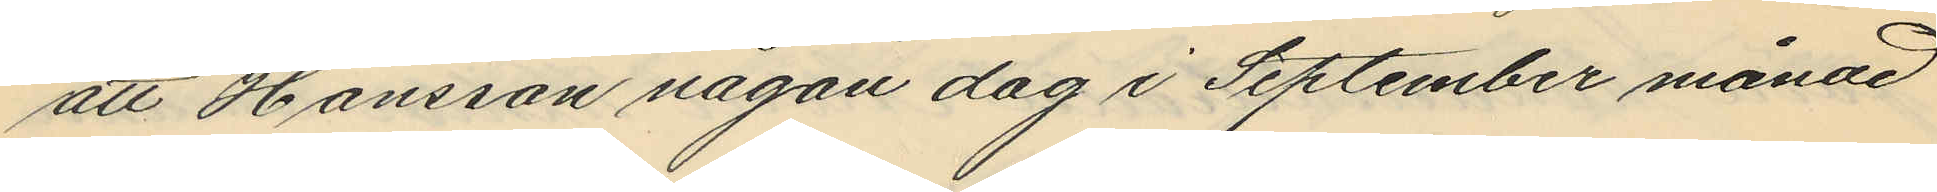att Hansson någon dag i September månad
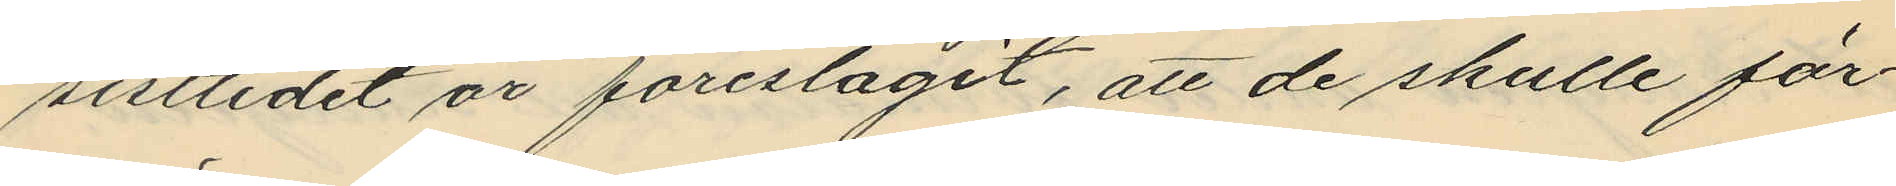sistlidet år föreslagit, att de skulle för¬
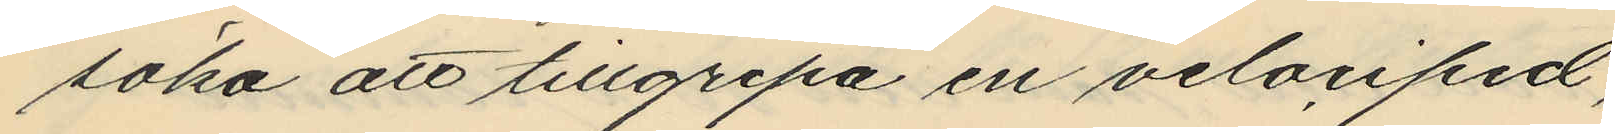söka att tillgripa en velociped,
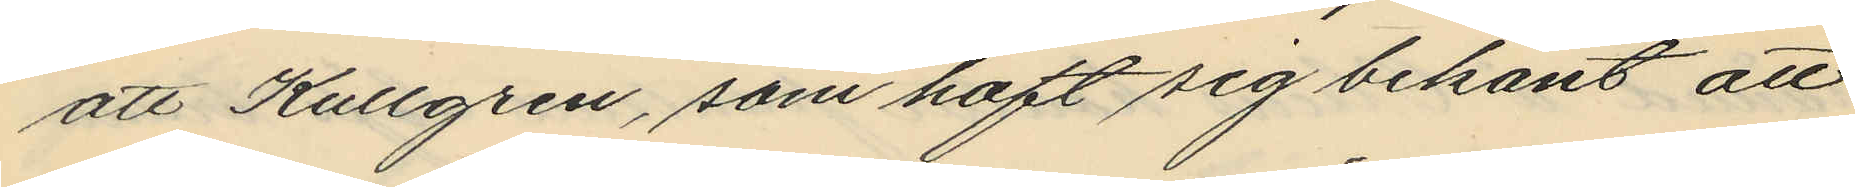att Kullgren, som haft sig bekant att
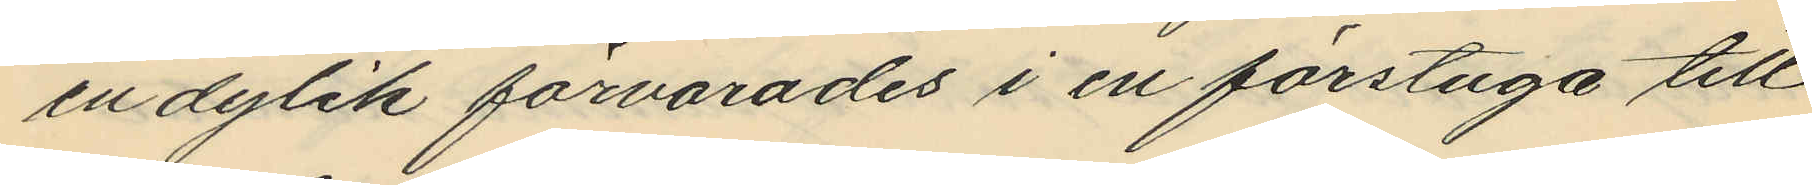en dylik förvarades i en förstuga till
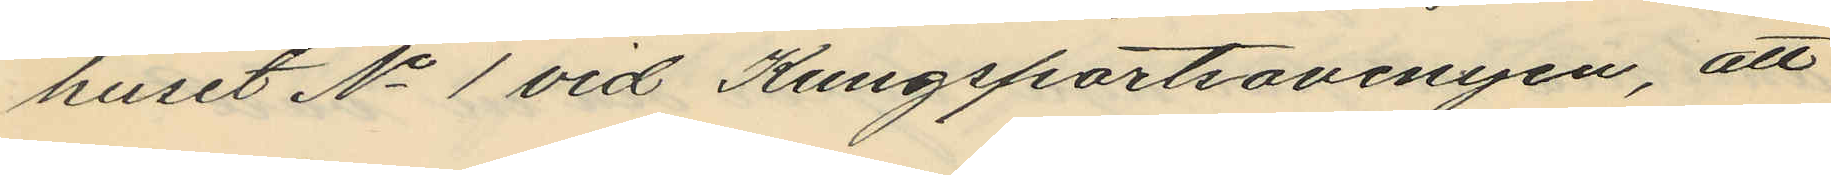huset No 1 vid Kungsportsavenyen, att
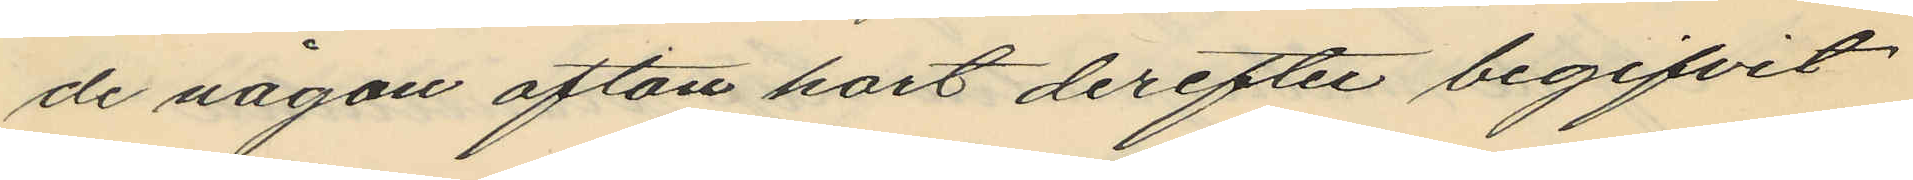de någon afton kort derefter begifvit
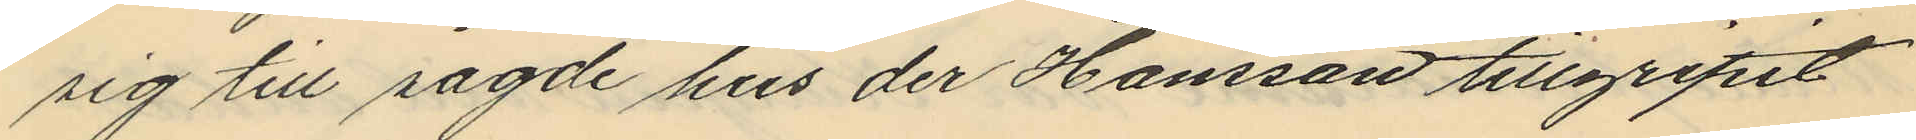sig till sagde hus der Hansson tillgripit
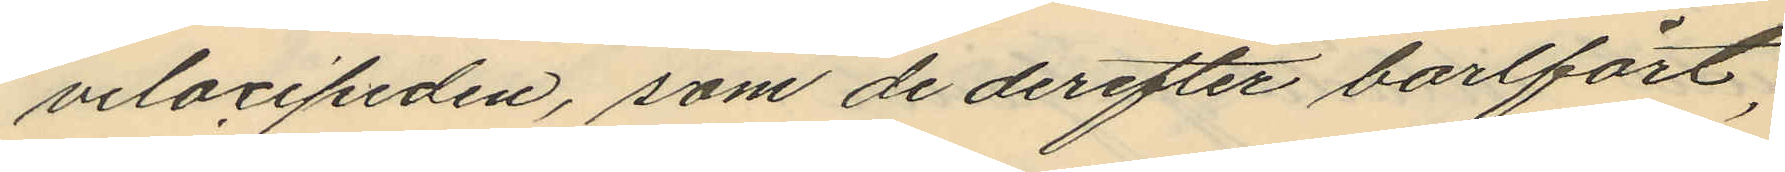velocipeden, som de derefter bortfört;
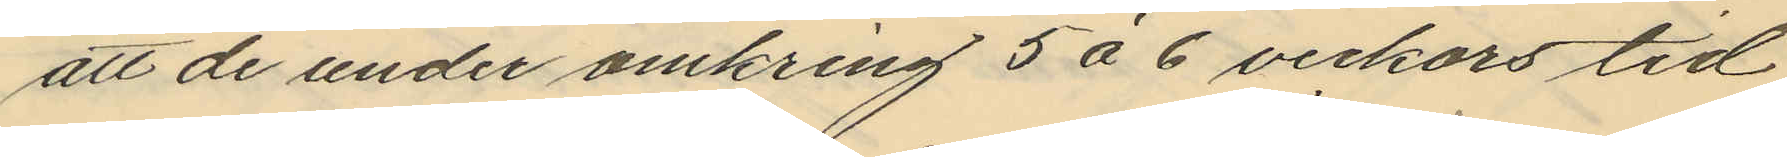att de under omkring 5 à 6 veckors tid
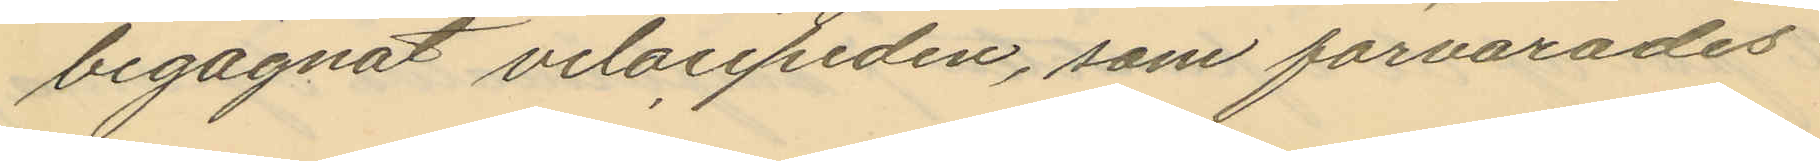begagnat velocipeden, som förvarades
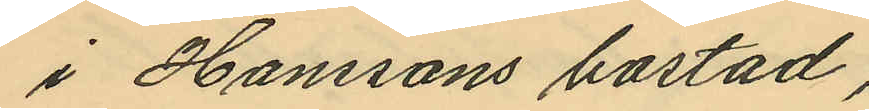i Hanssons bostad,
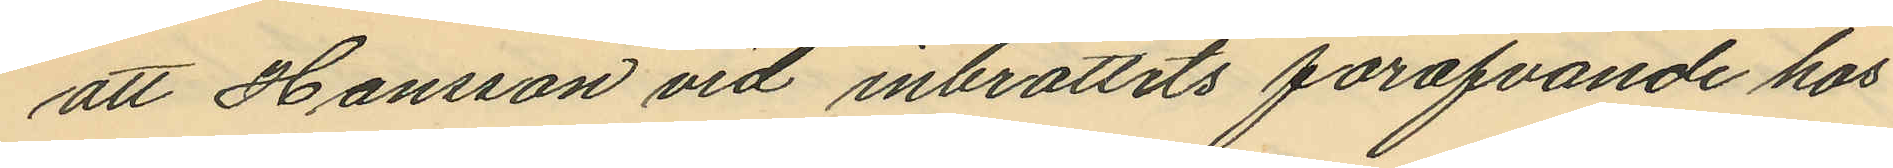att Hansson vid inbrottets föröfvande hos
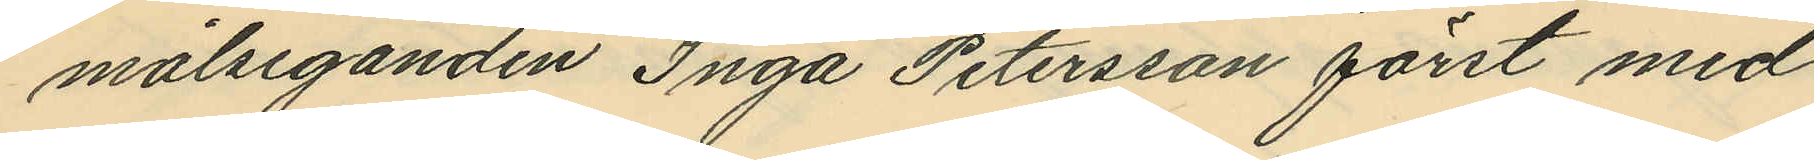målseganden Inga Petersson först med
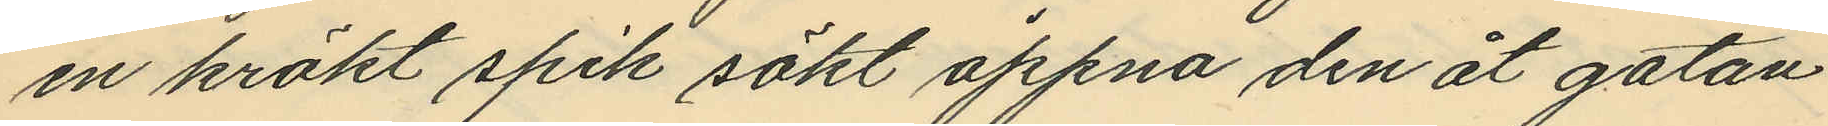en krökt spik sökt öppna den åt gatan
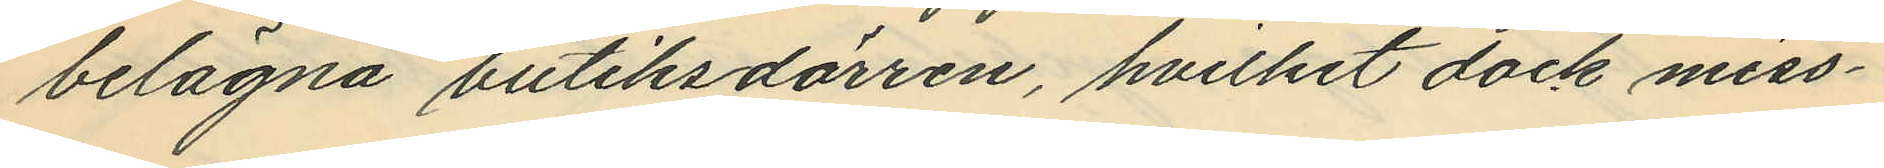belägna butiksdörren, hvilket dock miss¬
